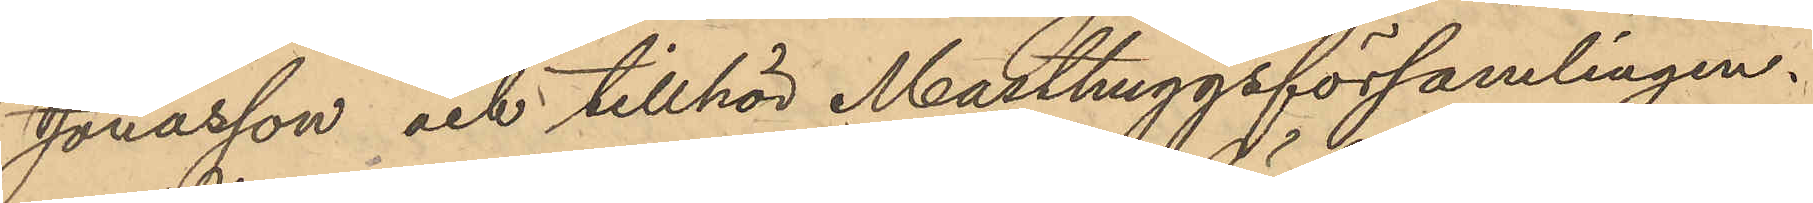Jonasson och tillhör Masthuggsförsamlingen.
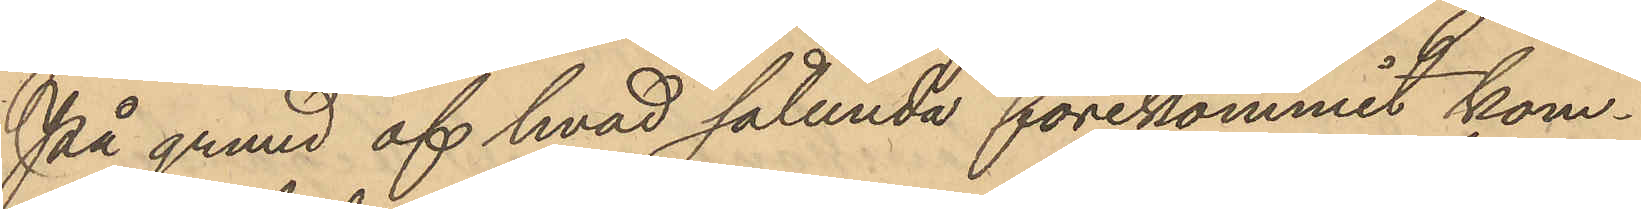På grund af hvad sålunda förekommit kom¬
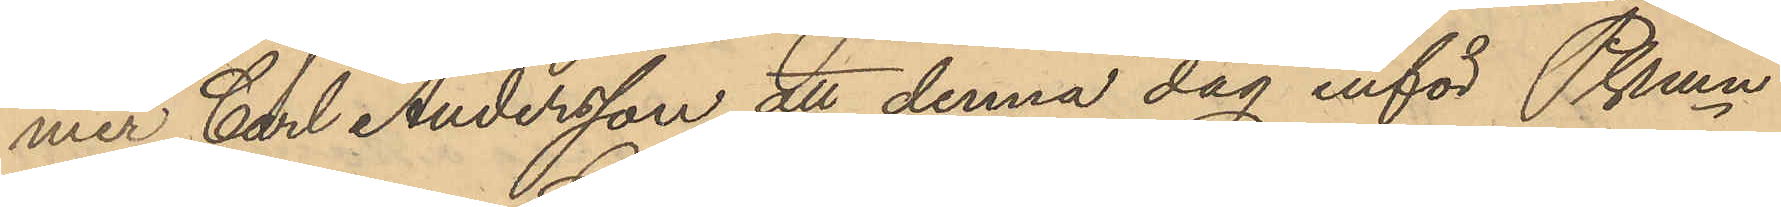mer Carl Andersson att denna dag inför Pkmn
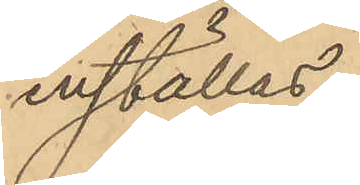inställas.
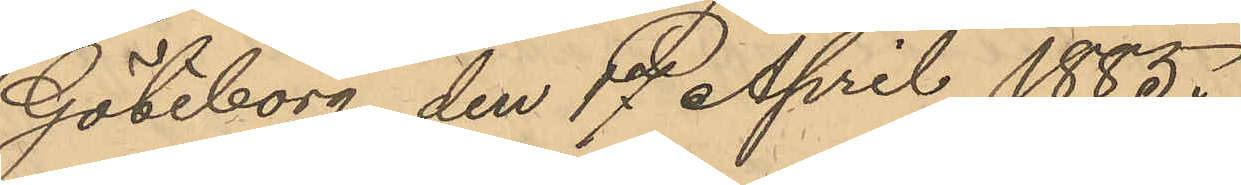Göteborg den 17 April 1885.
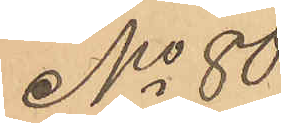No 80
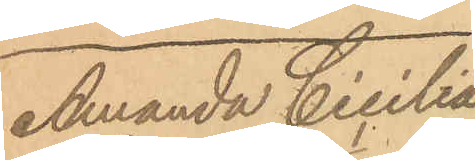Amanda Cicilia
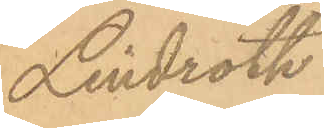Lindroth
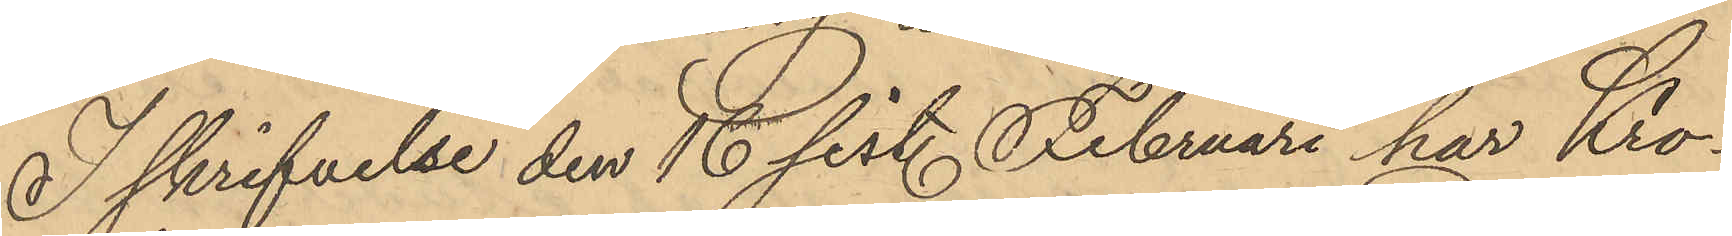I skrifvelse den 16 sist. Februari har Kro¬
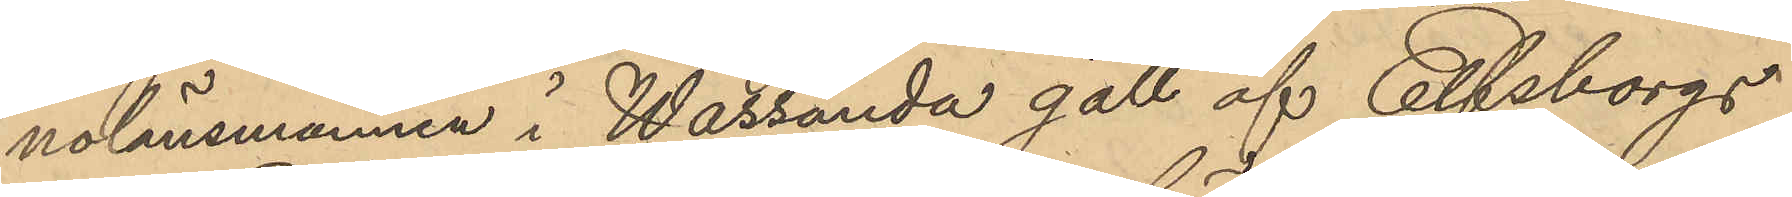nolänsmannen i Wassända gäll af Elfsborgs
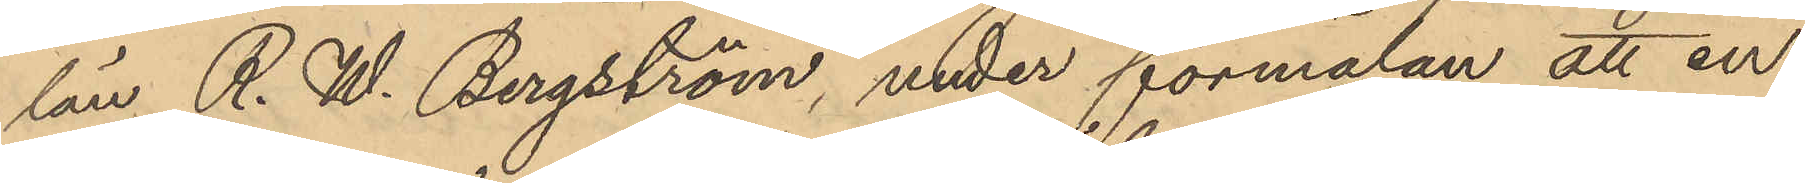län. R. W. Bergström, under förmälan att en
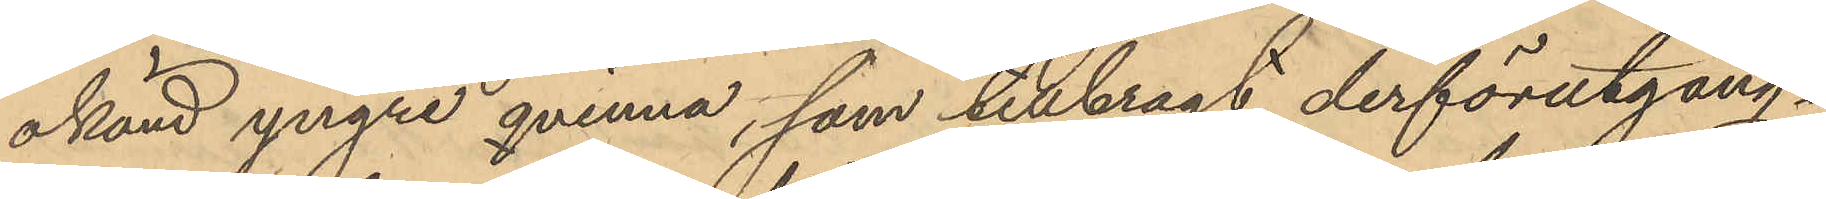okänd yngre qvinna, som tillbragt derförutgång¬
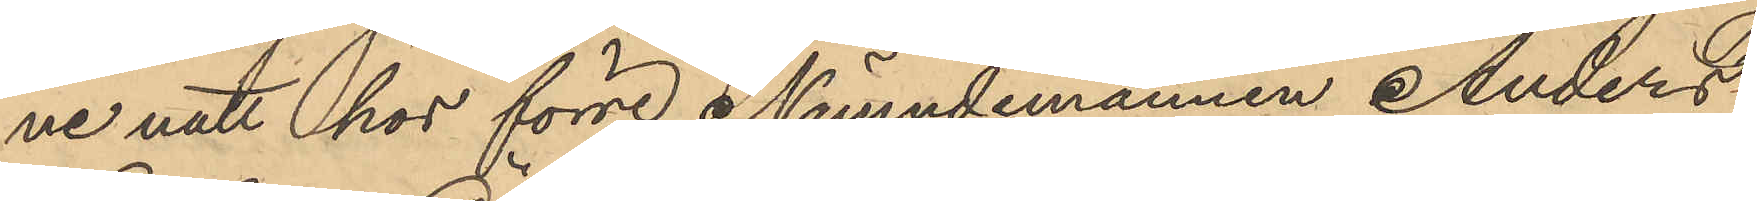ne natt hos förre Nämndemannen Anders
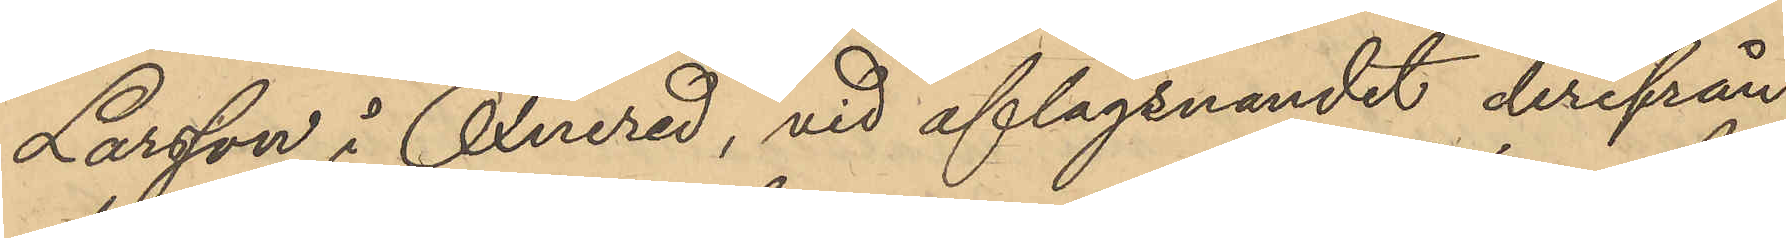Larsson i Öxnered, vid aflägsnandet derifrån
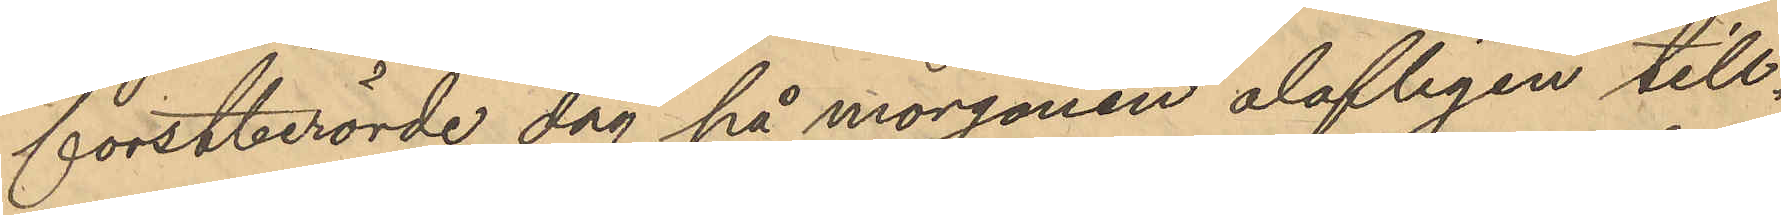forstberörde dag på morgonen olofligen till¬
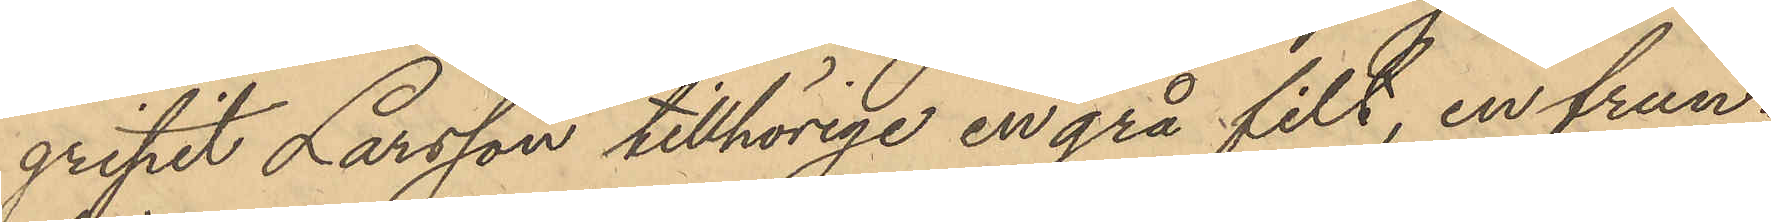gripit Larsson tillhörige en grå filt, en frun¬
